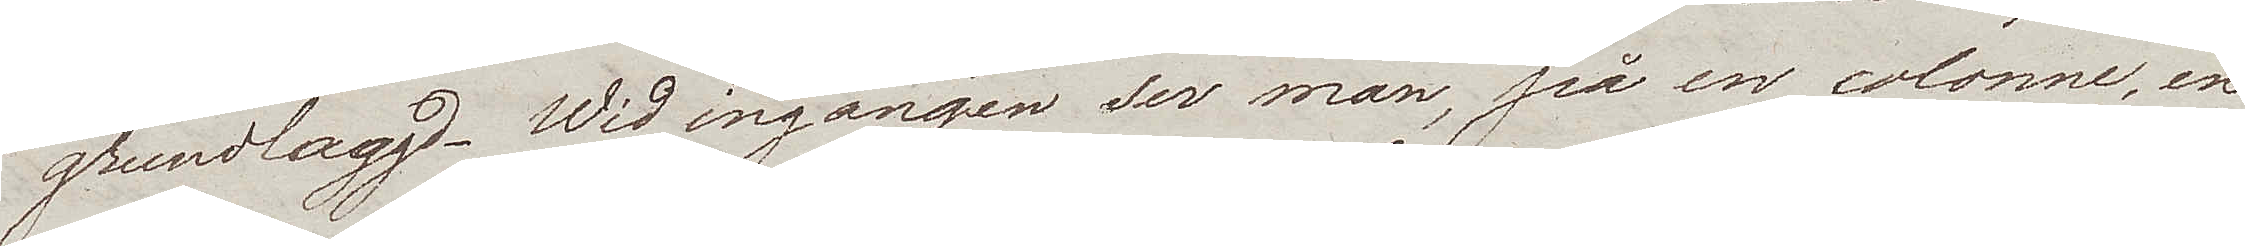grundlaggd. Wid ingången ser man, på en colonne, en
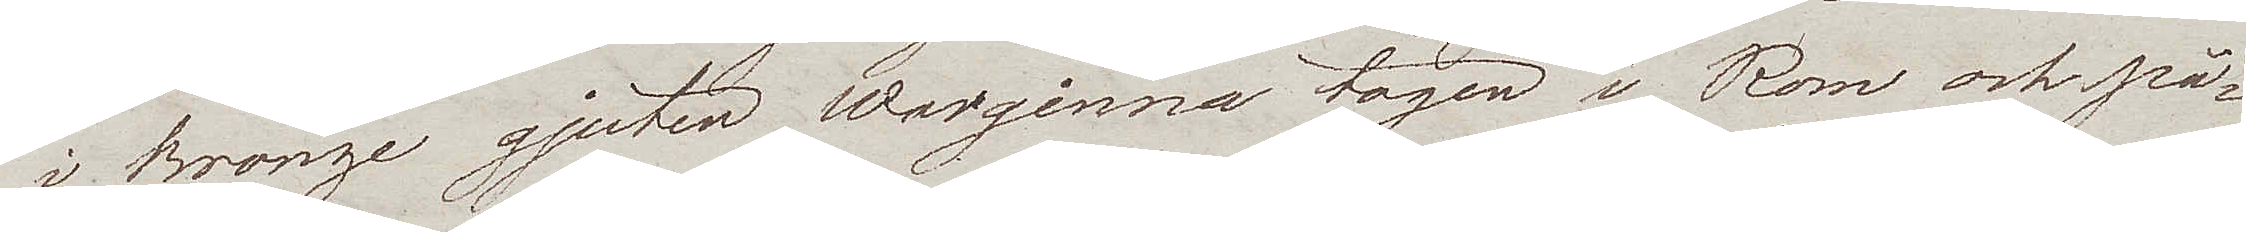i Bronze gjuten Warginna tagen i Rom och på¬
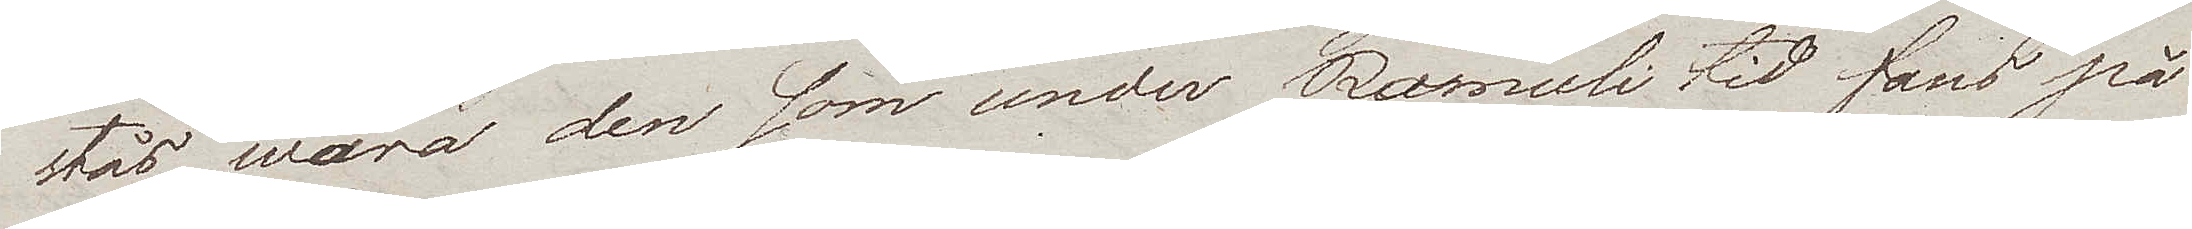stås wara den som under Romuli tid fans på
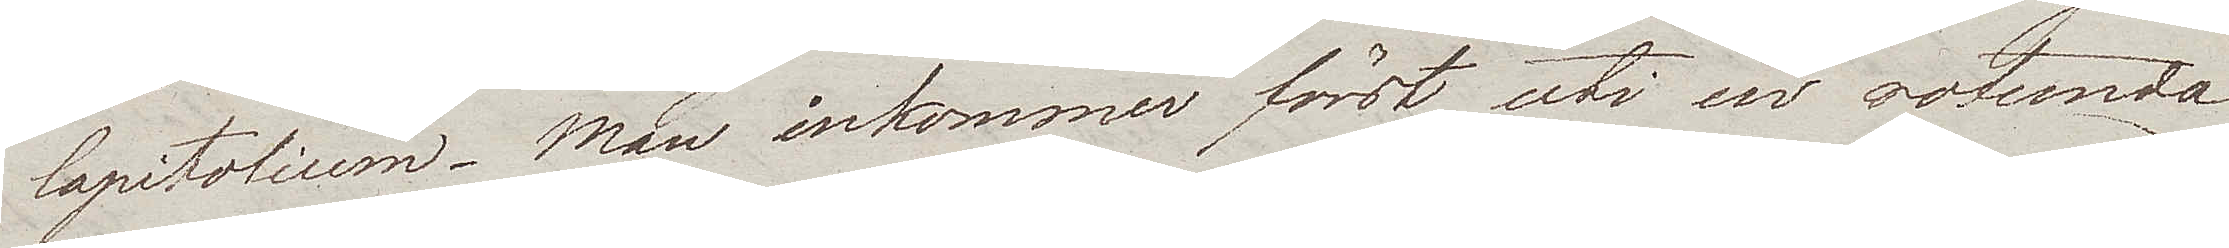Capitolium. Man inkommer först uti en rotunda
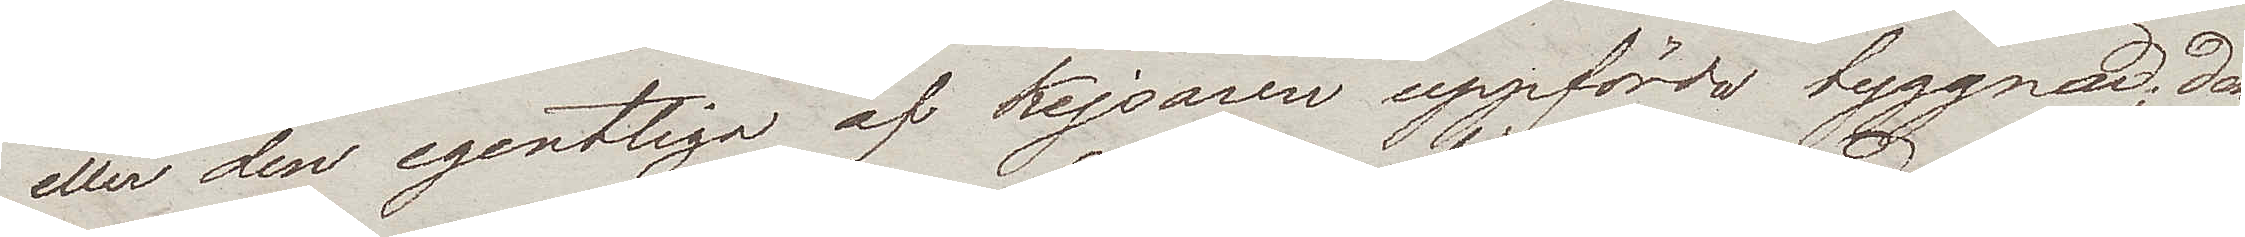eller den egentliga af Kejsaren uppförda byggnad; den¬
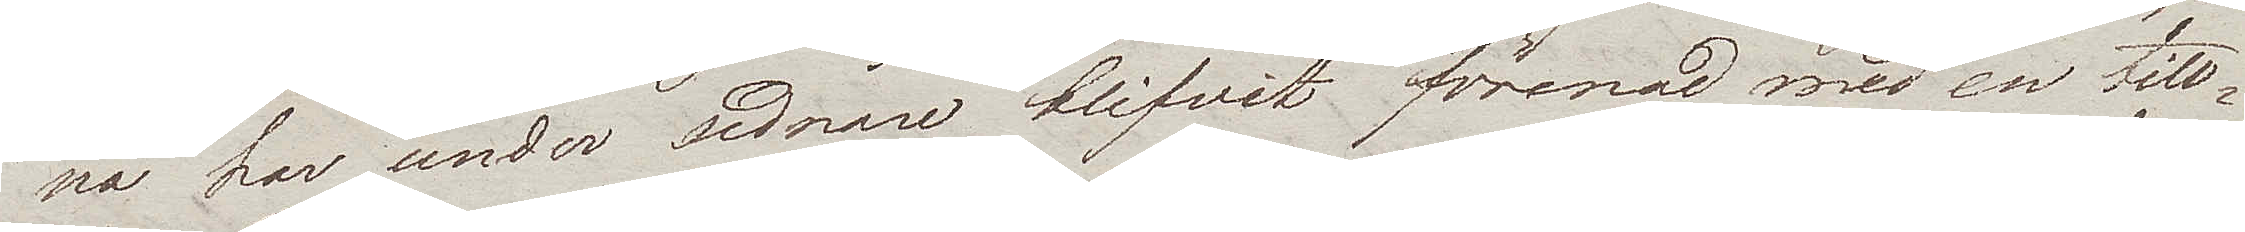na har under sednare blifvit förenad med en till¬
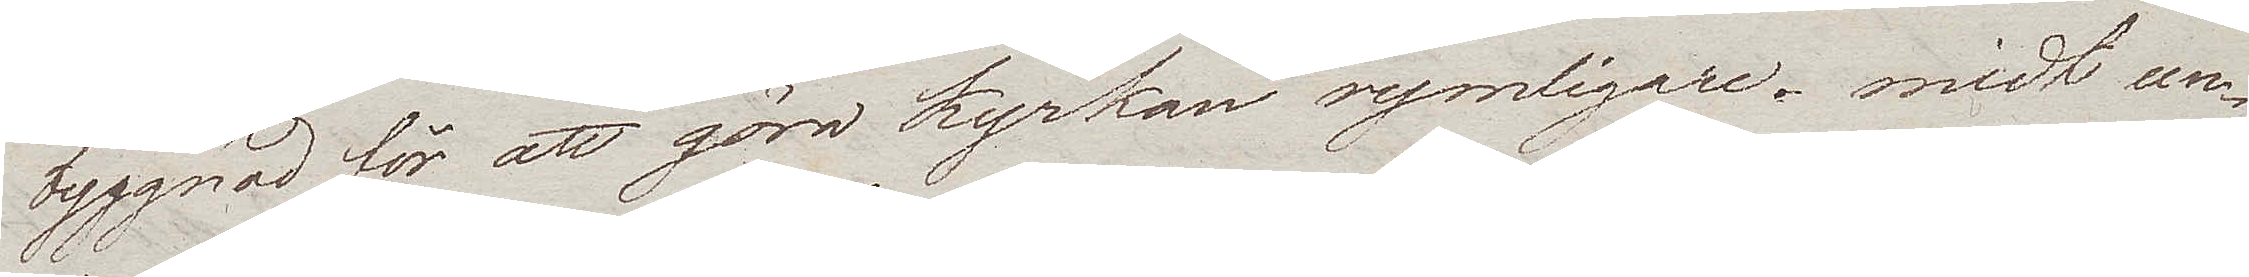byggnad för att göra kyrkan rymligare – midt un¬
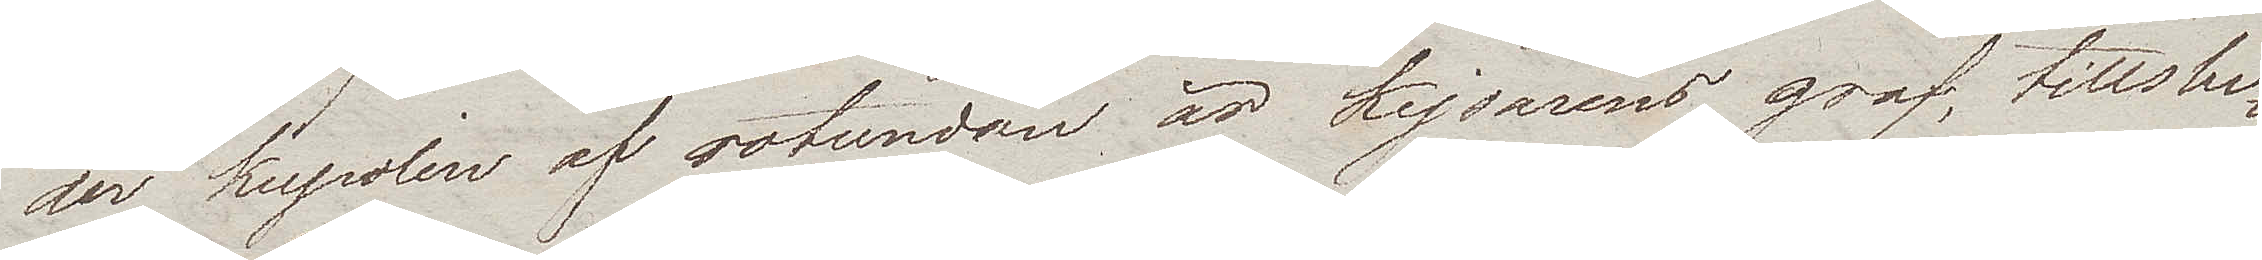der kupolen af rotundan är Kejsarens graf, tillslu¬
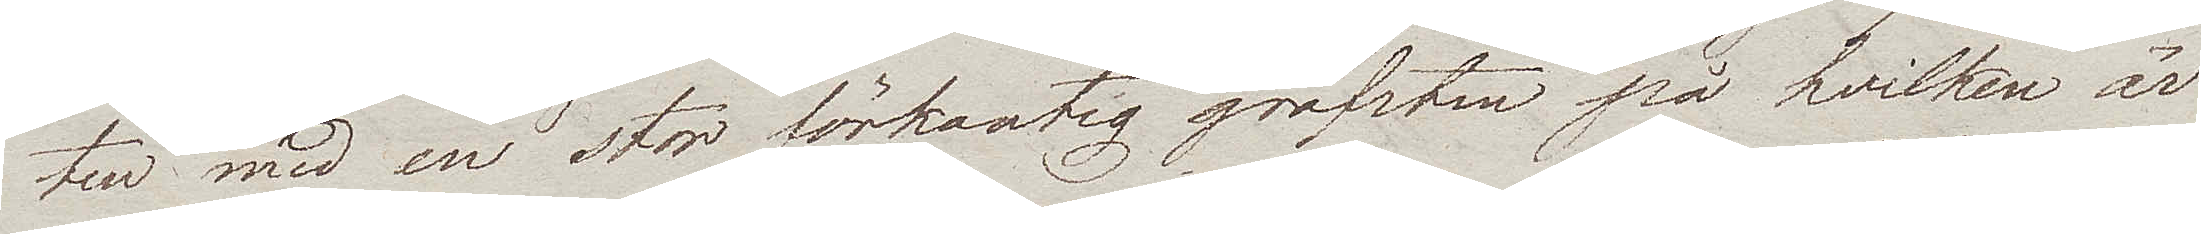ten med en stor förkantig grafsten på hvilken är
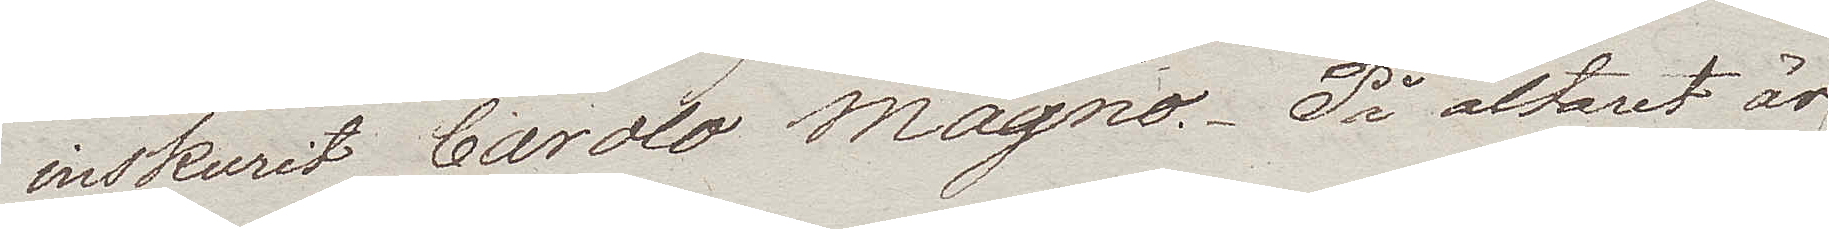inskurit Carolo Magno. På altaret är
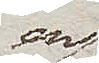en
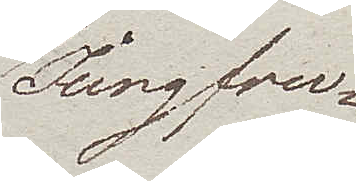Jungfru¬
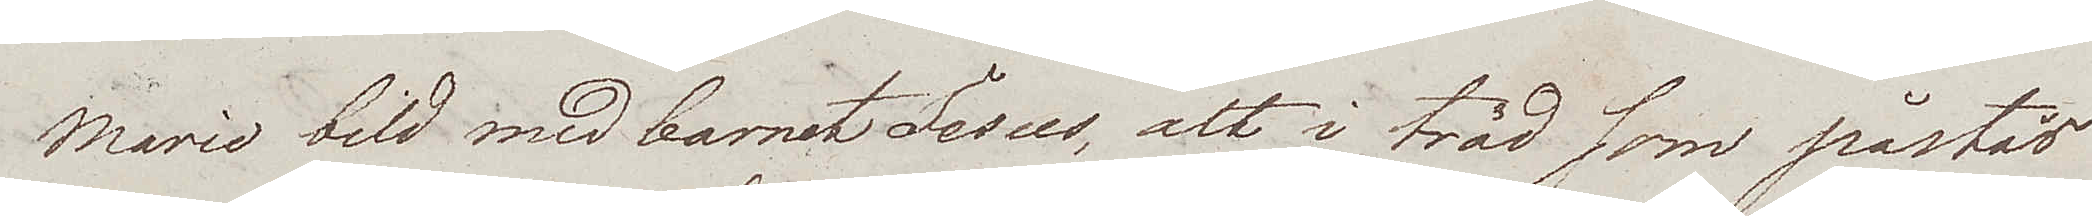Marie bild med barnet Jesus, alt i träd som påstås
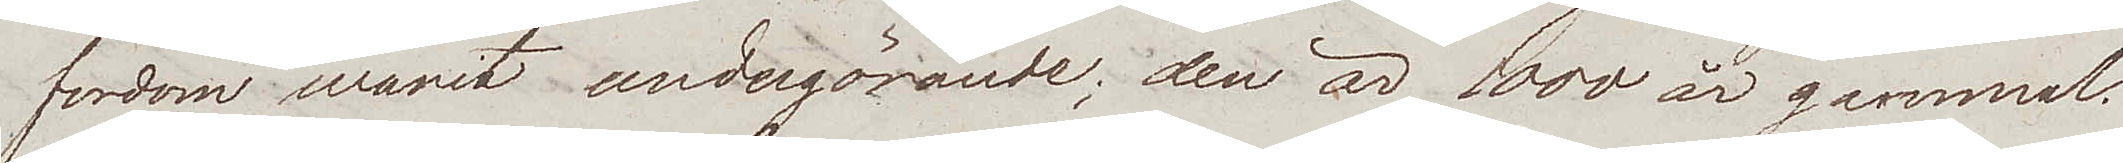fordom warit undergörande; den är 1000 år gammal.
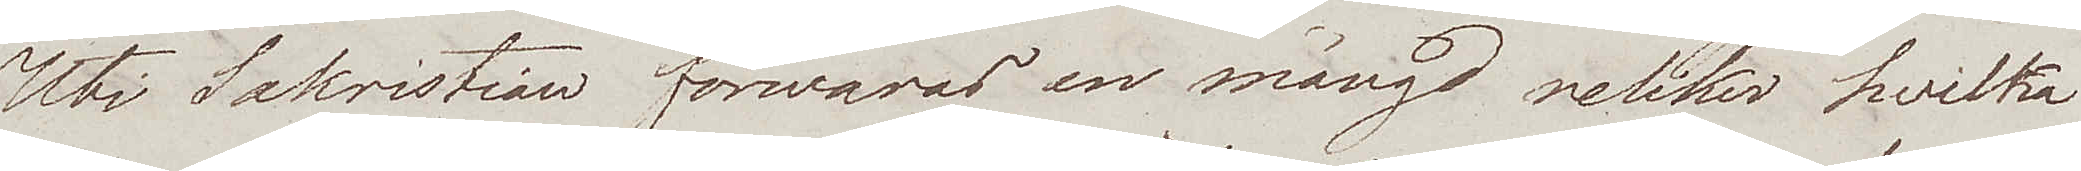Uti Sakristian förwaras en mängd reliker hvilka
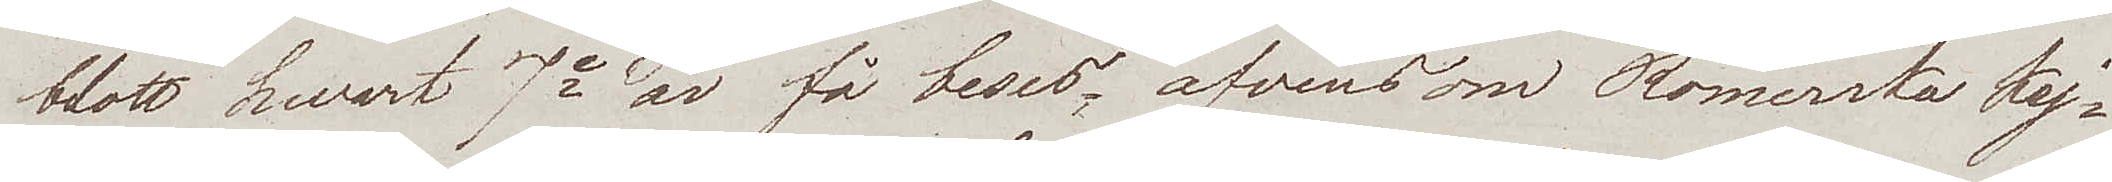blott hvart 7e år få beses; äfvensom Romerska Kej¬
